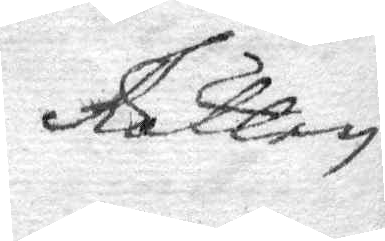Rätten
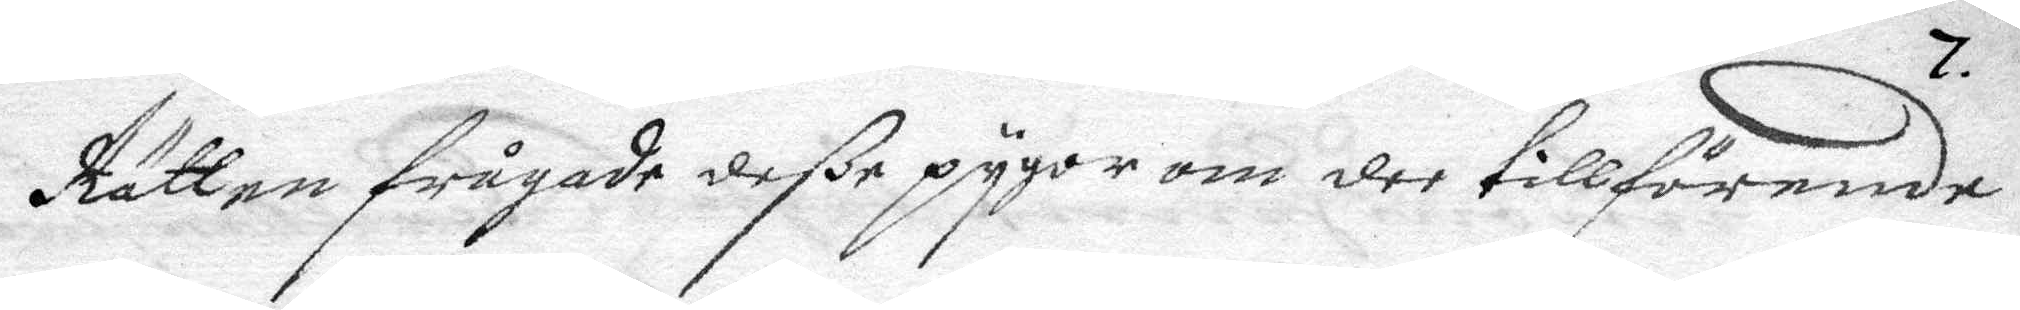Rätten frågade deße pygor om dee tillförende
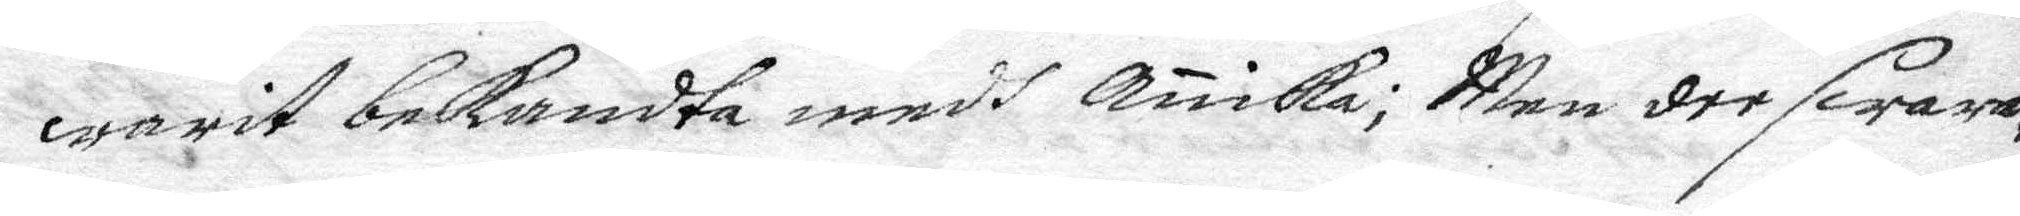warit bekandta medh Anika; Men dee swara¬
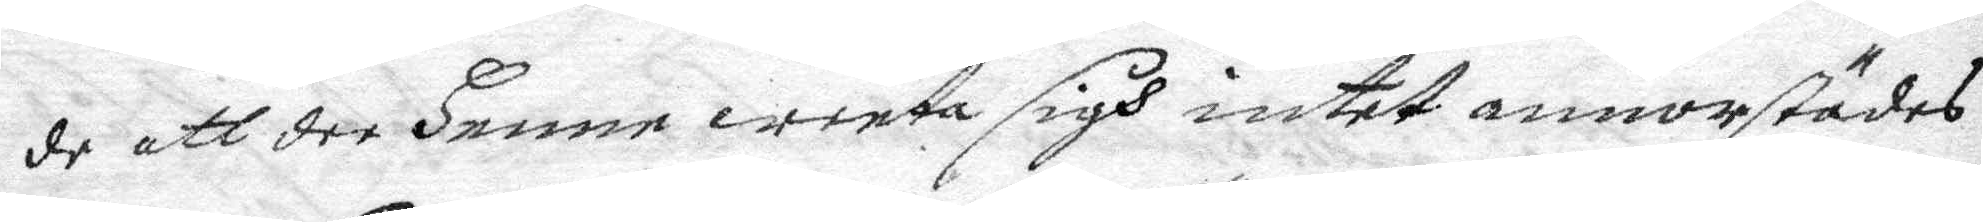de att dee henne weeta sigh intet annorstädes
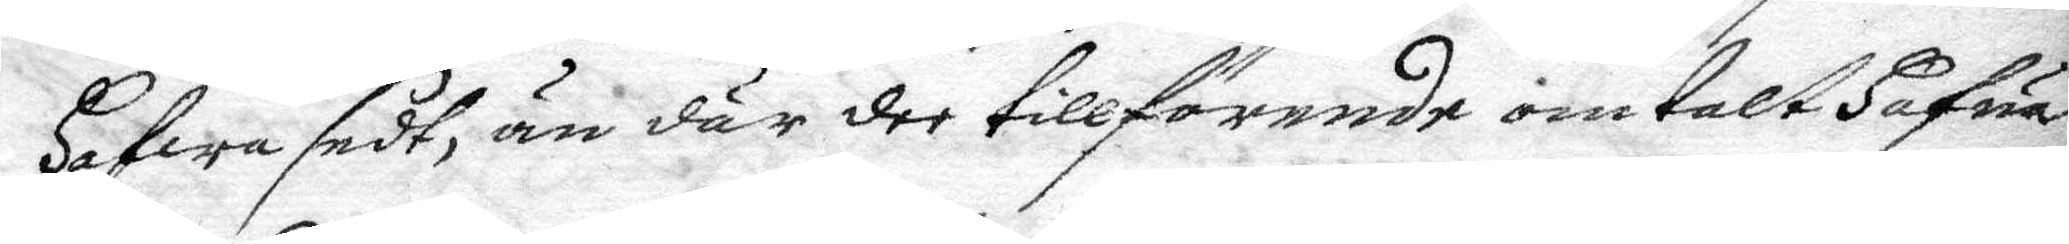hafwa sedt, än där dee tillförende omtalt hafua,
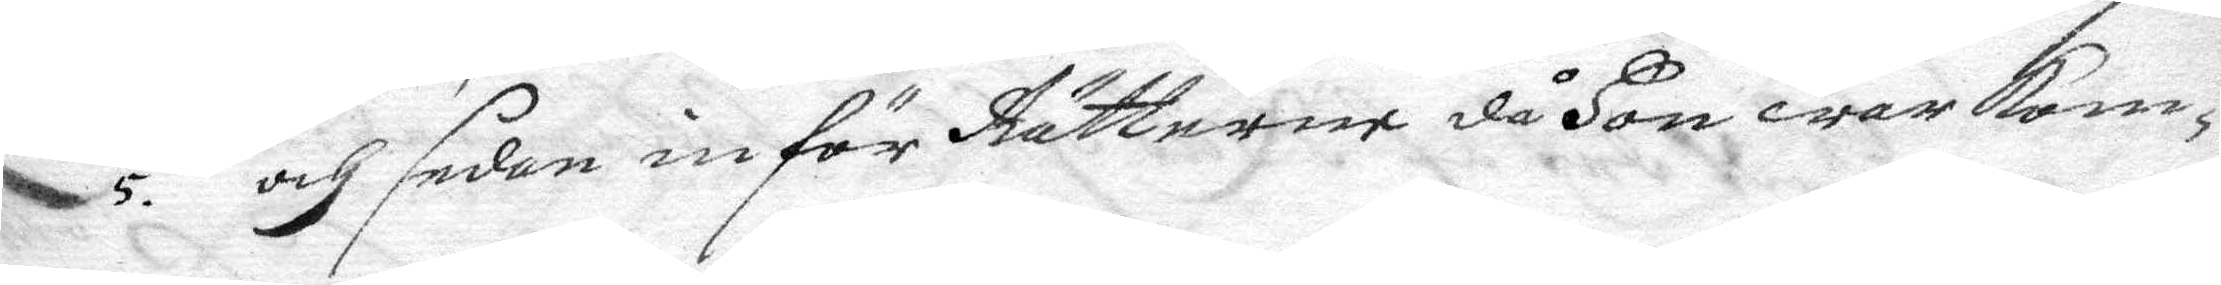5. och sedan inför Rätterne då hon war kom¬
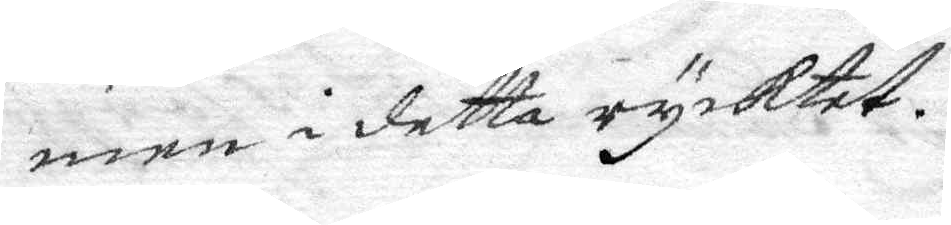men i detta rycktet.
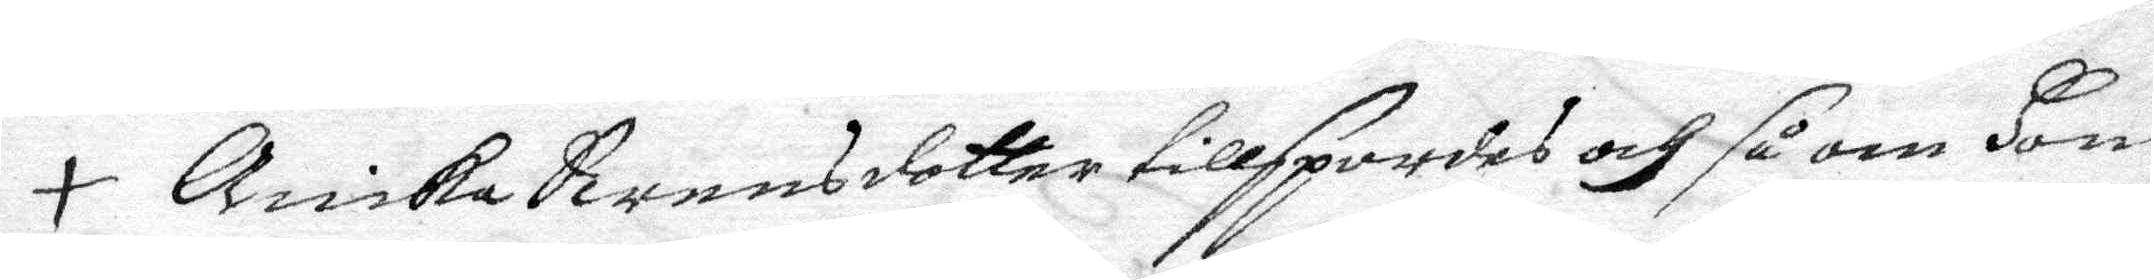+ Anika Swensdotter tillspordes och så om hon
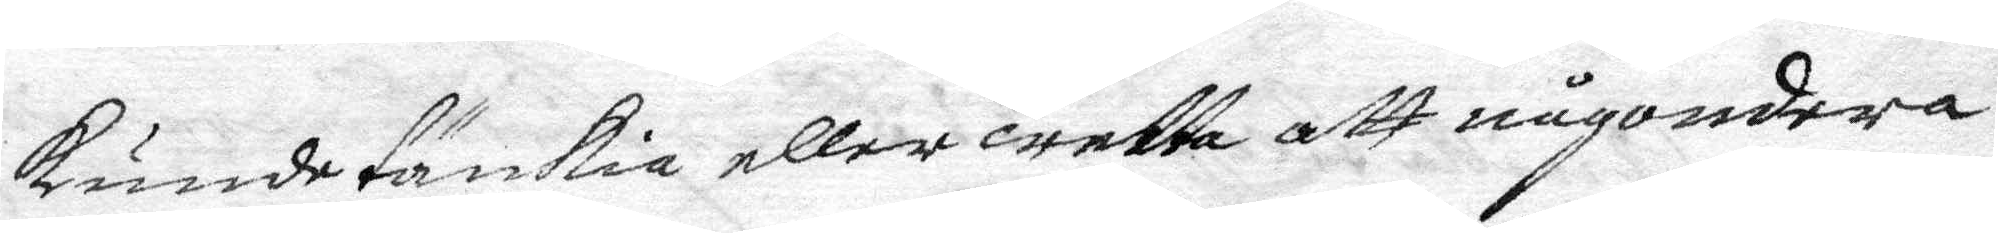kunde tänkia eller wetta att någondera
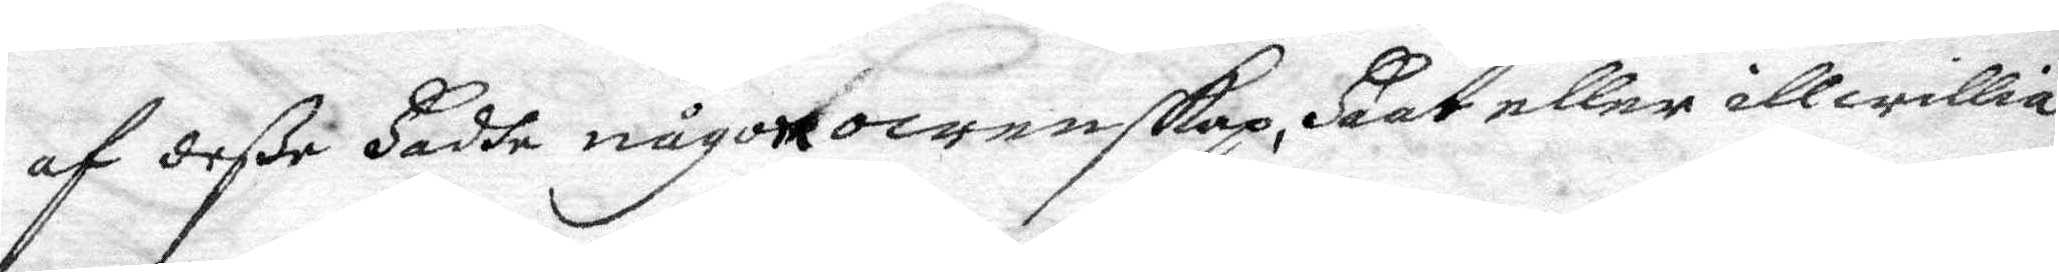af deße hadhe någon owenskap, haat eller illwillia
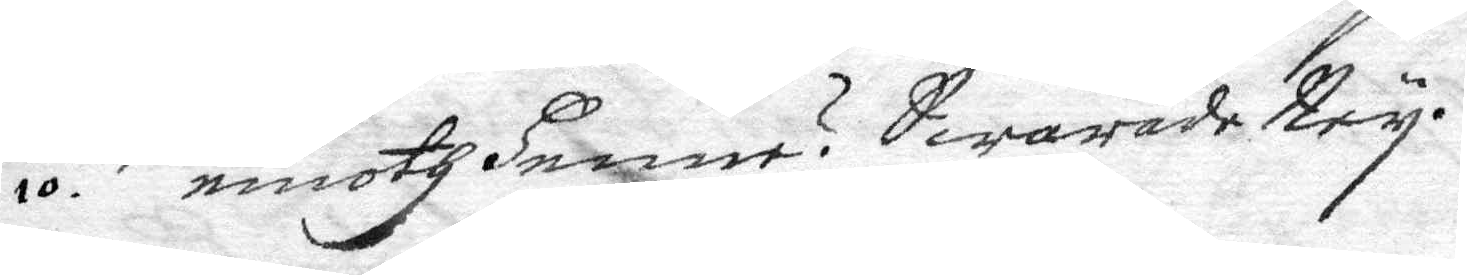10. emoth henne? Swarade Ney.
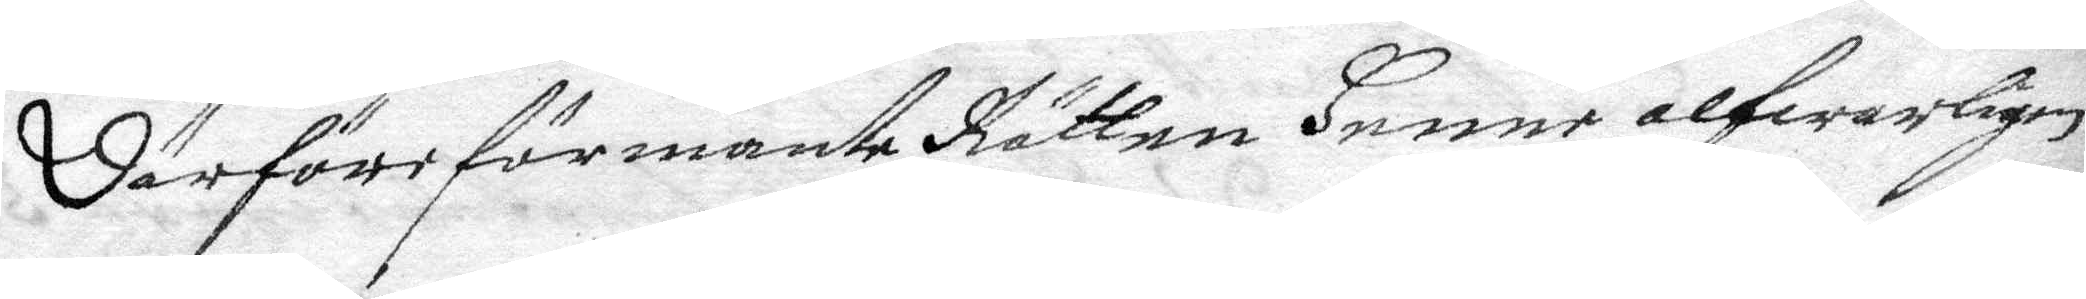Därföre förmante Rätten henne alfwarligen
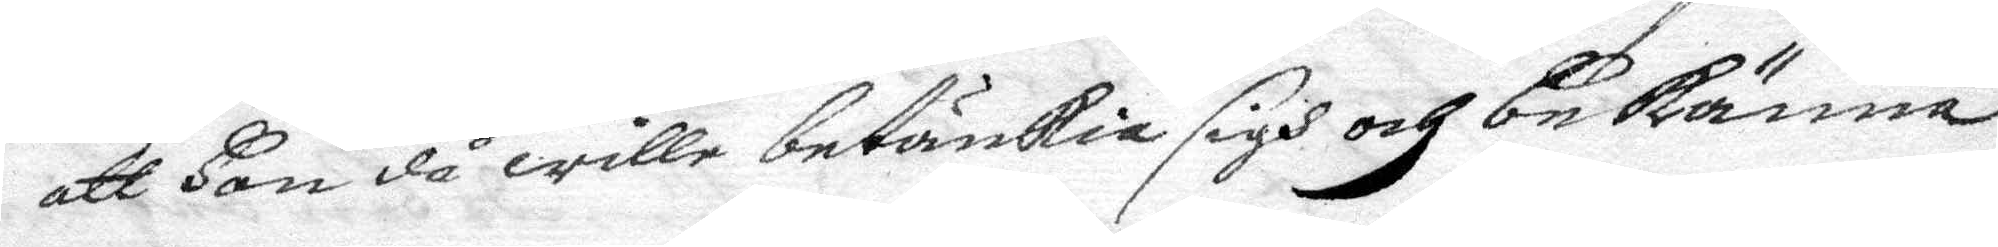att hon då wille betänkia sigh och bekänna
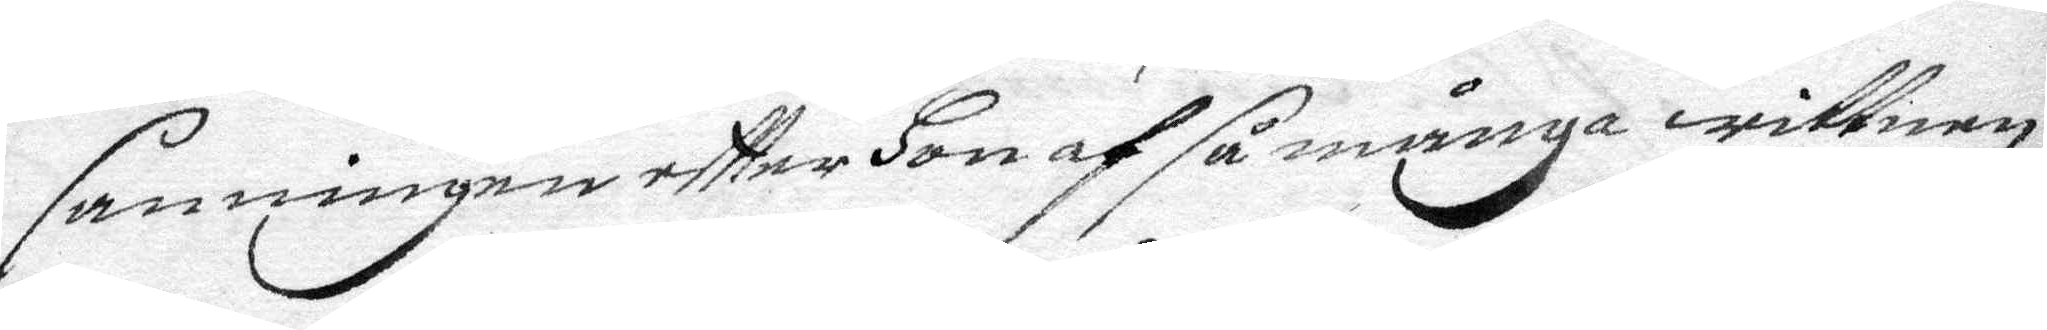sanningen eftter hon af så många wittnen
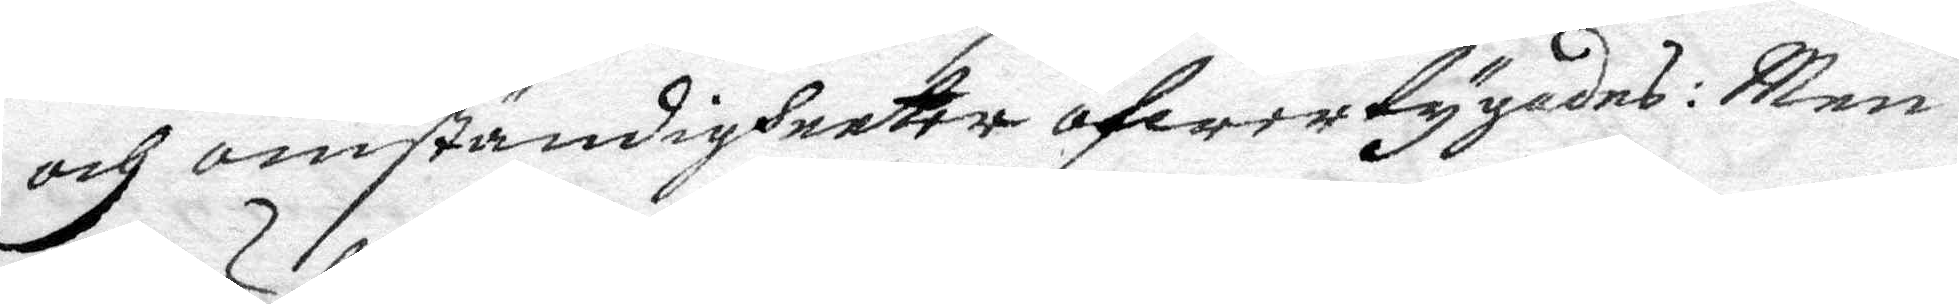och omständigheeter öfwertygades: Men
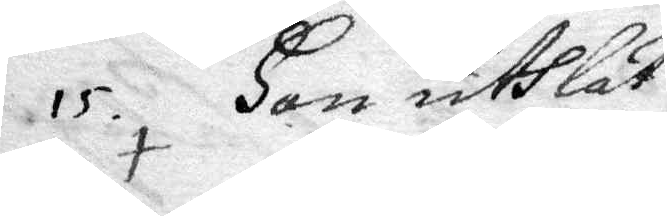15. hin uthlät
